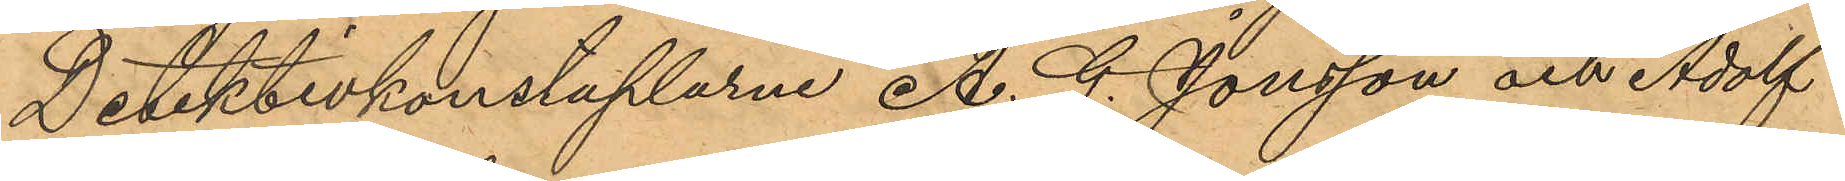Detektivkonstaplarne A. G. Jonsson och Adolf
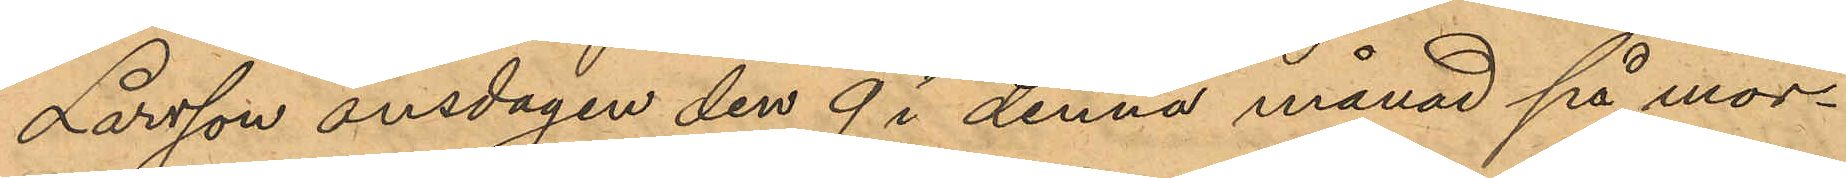Larsson onsdagen den 9 i denna månad på mor¬
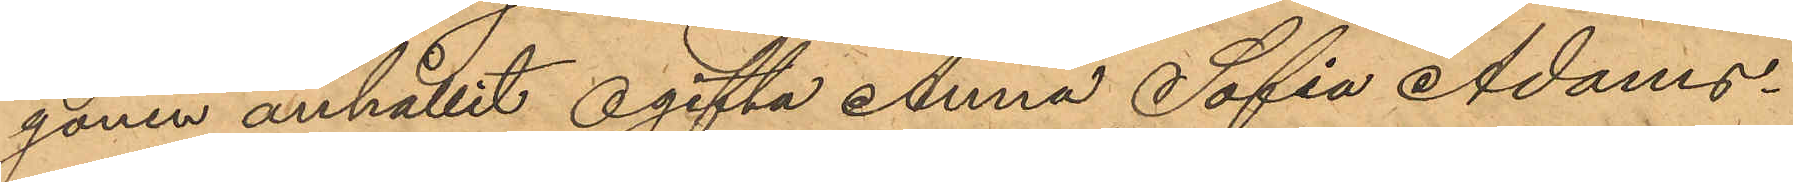gonen anhållit ogifta Anna Sofia Adams¬
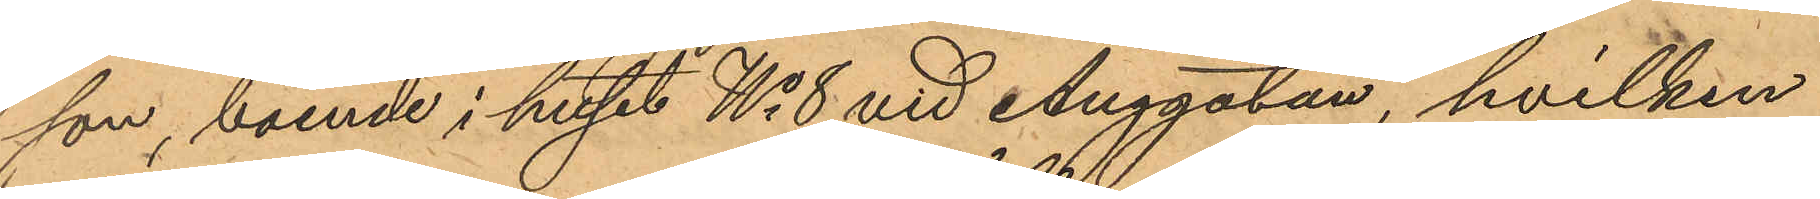son, boende i huset No 8 vid Änggatan, hvilken
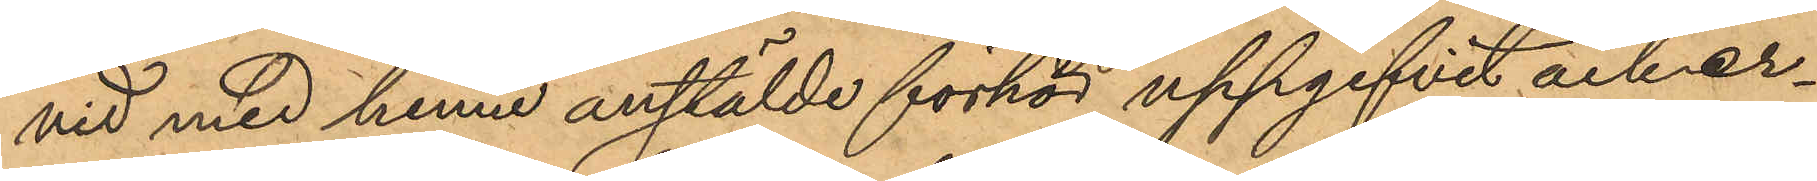vid med henne anstälde förhör uppgifvit och er¬
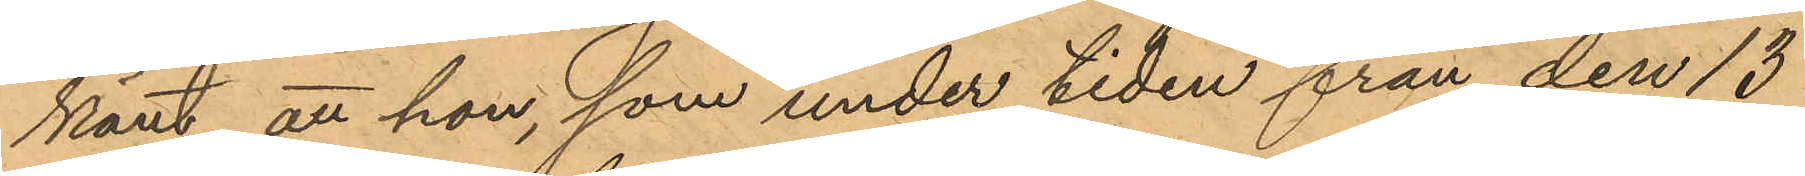känt att hon, som under tiden från den 13
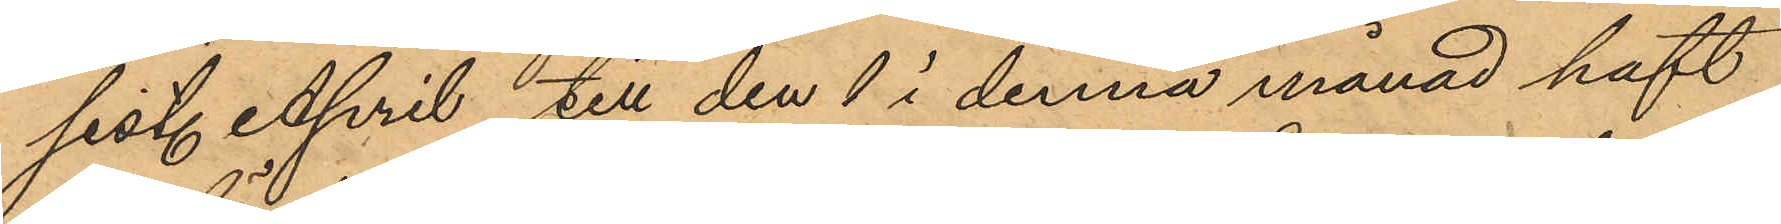sist. April till den 1 i denna månad haft
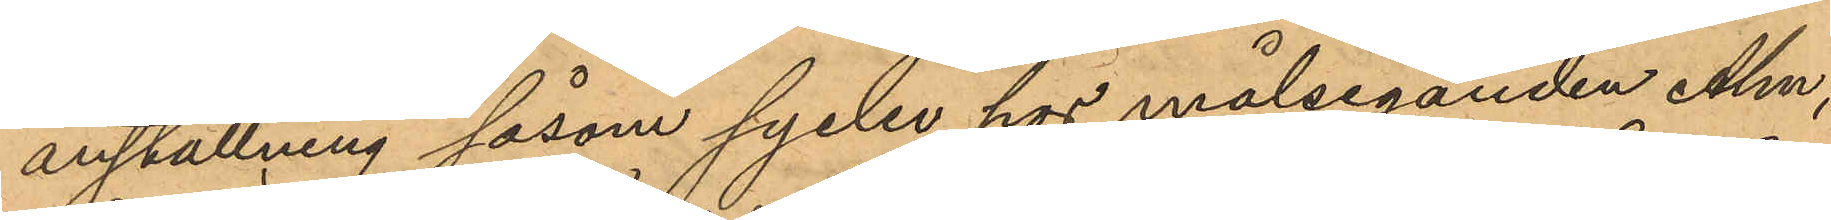anställning såsom syelev hos målseganden Alm,
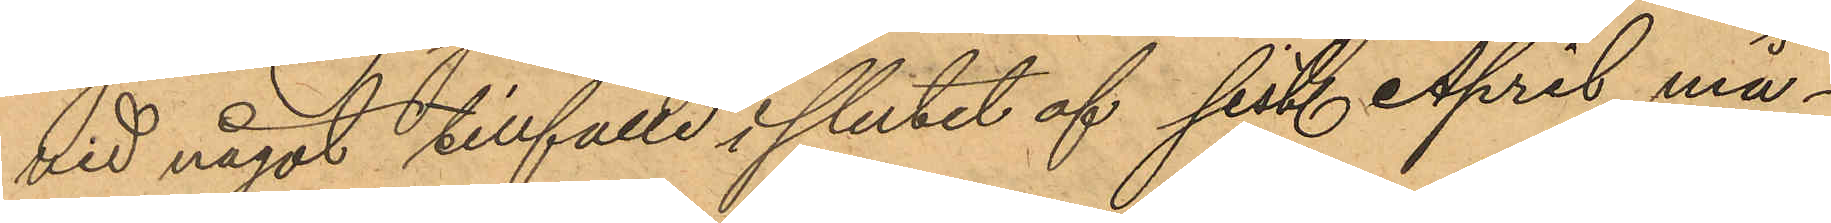vid något tillfälle i slutet af sist. April må¬
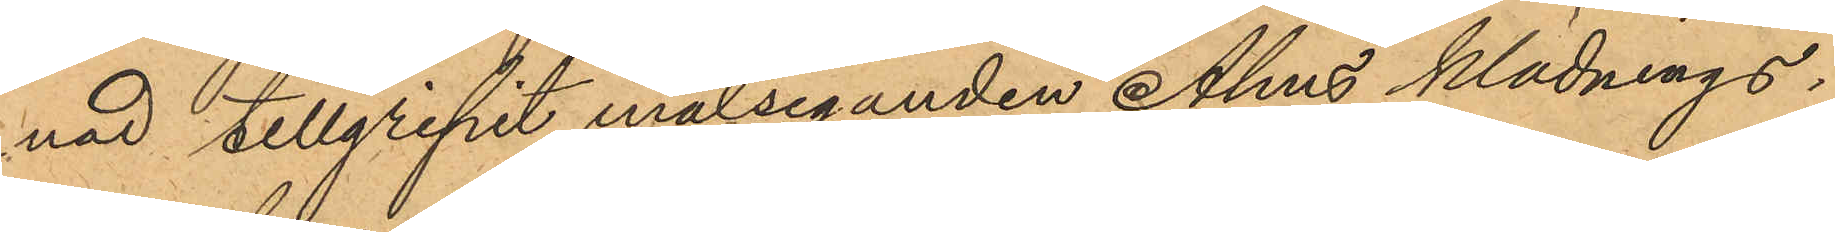nad tillgripit målseganden Alms klädnings¬
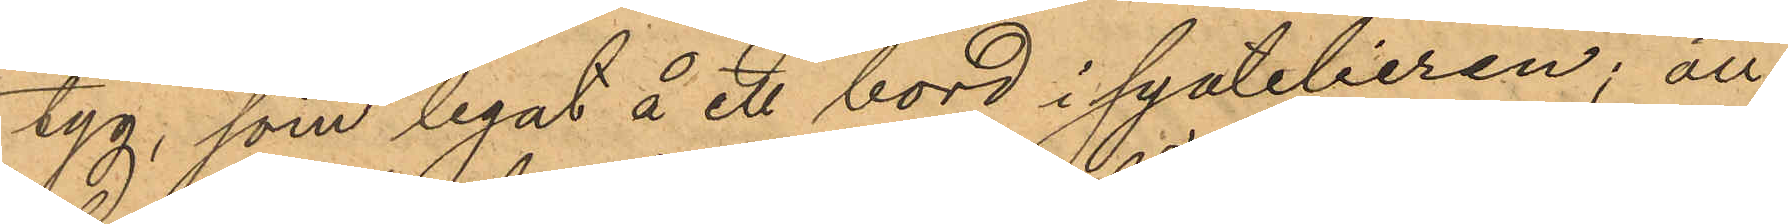tyg, som legat å ett bord i syatelieren; att
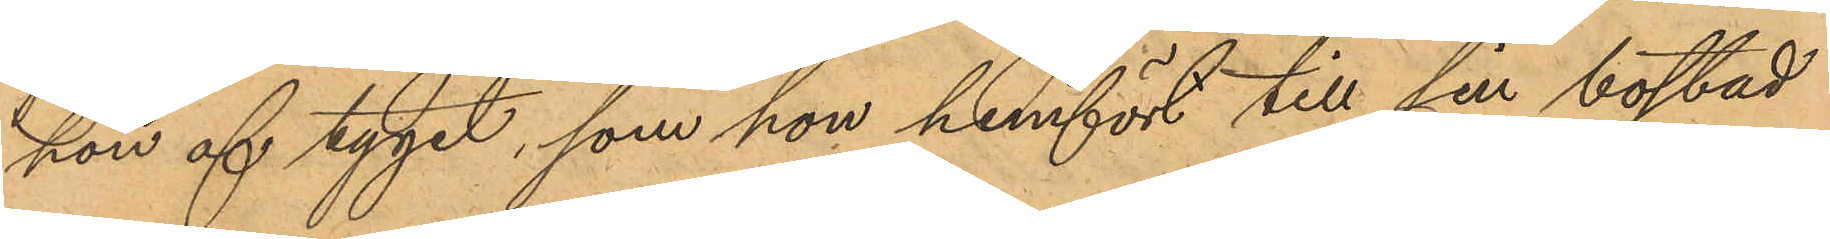hon af tyget, som hon hemfört till sin bostad
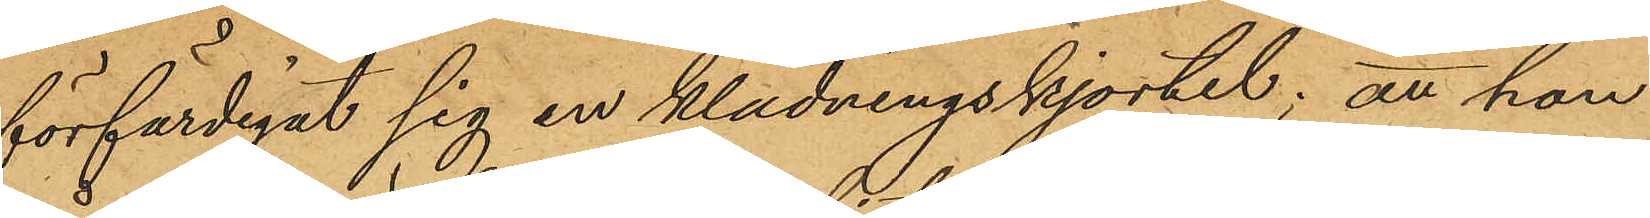förfärdigat sig en klädningskjortel; att hon
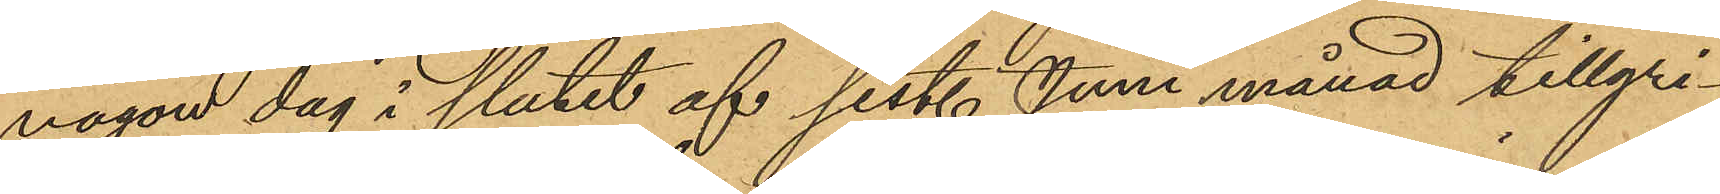någon dag i slutet af sist. Juni månad tillgri¬
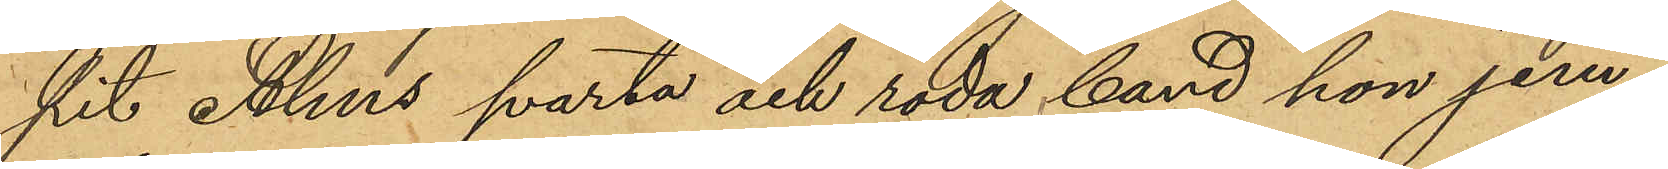pit Alms svarta och röda band hon jem¬
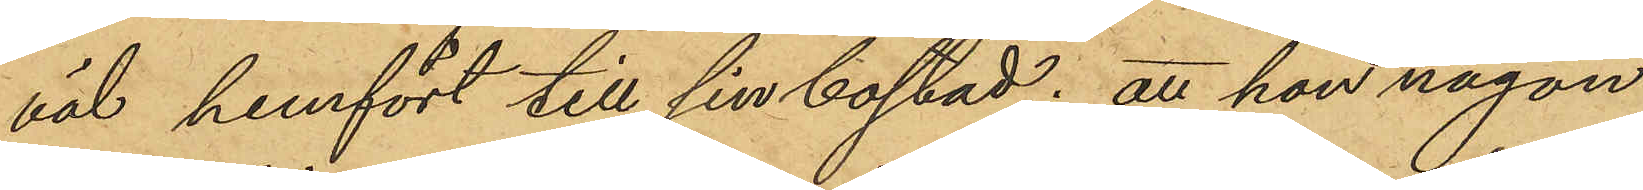väl hemfört till sin bostad; att hon någon
